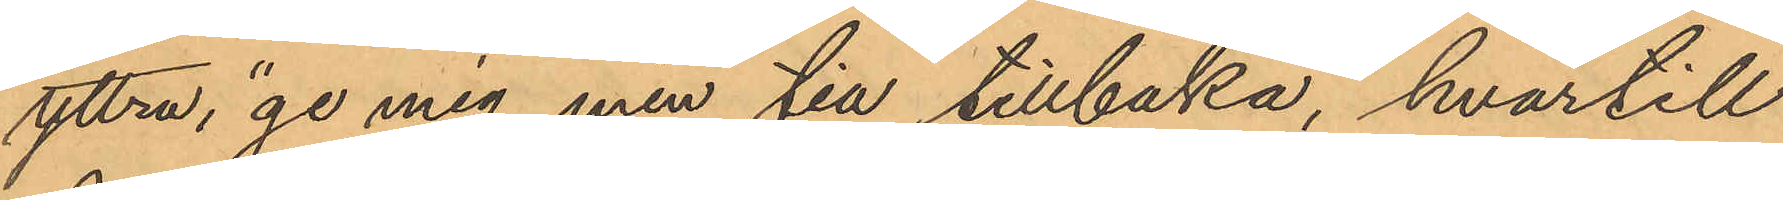yttra, "ge mig min tia tillbaka", hvartill
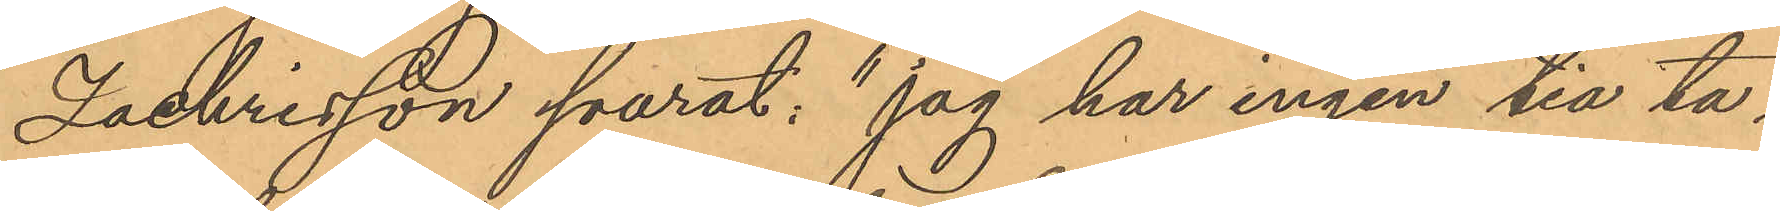Zachrisson svarat: "jag har ingen tia ta¬
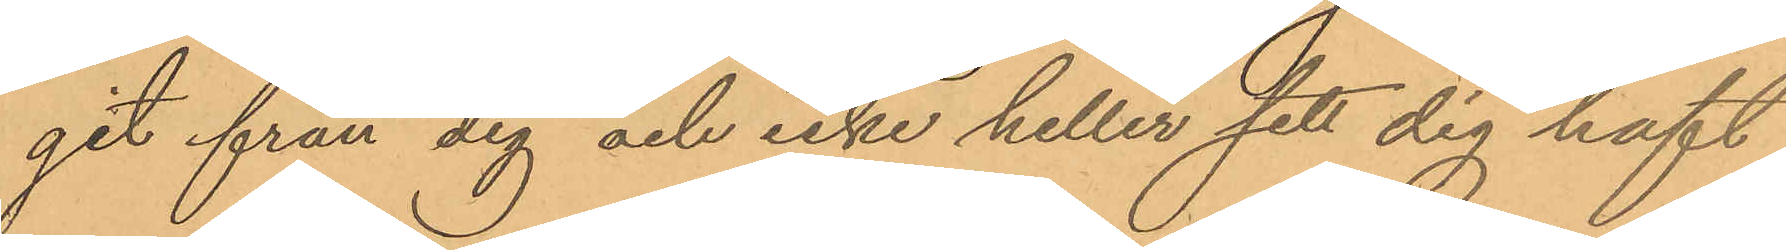git ifrån dig och icke heller sitt sig haft
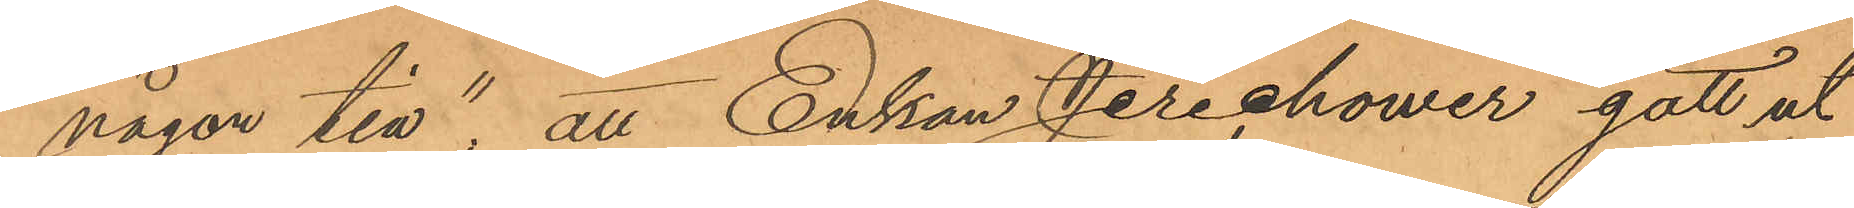någon tia", att Enkan Jerichower gått ut
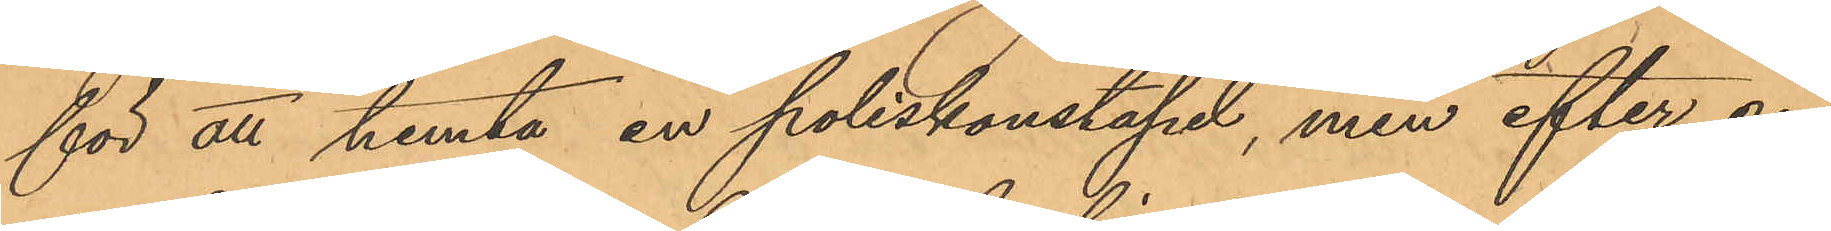för att hemta en poliskonstapel, men efter en
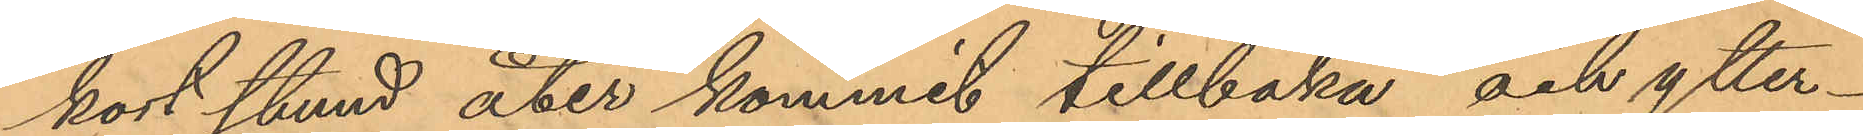kort stund åter kommit tillbaka och ytter¬
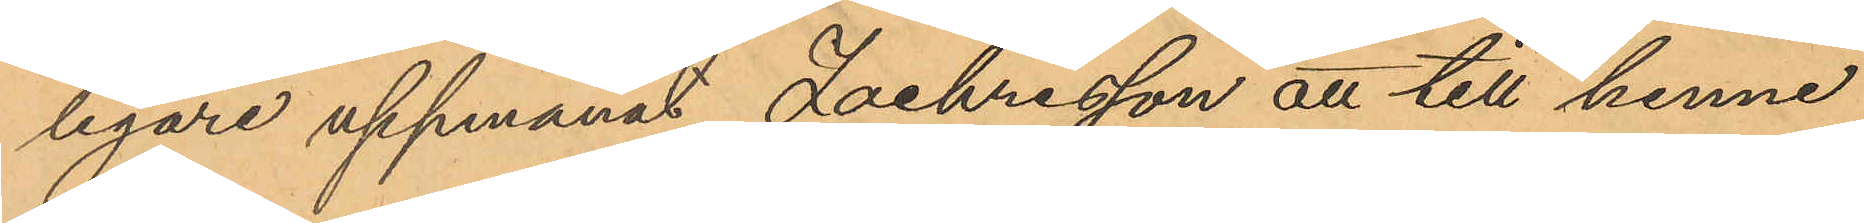ligare uppmanat Zachrisson att till henne
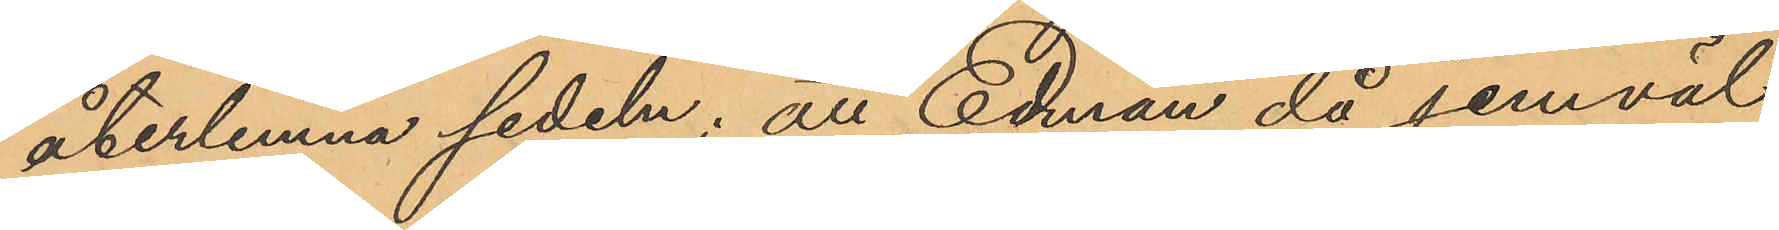återlemna sedeln; att Edman då jemväl
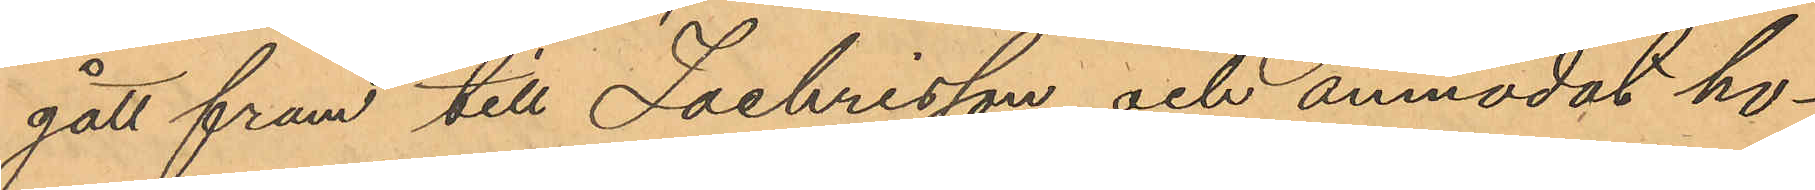gått fram till Zachrisson och anmodat ho¬
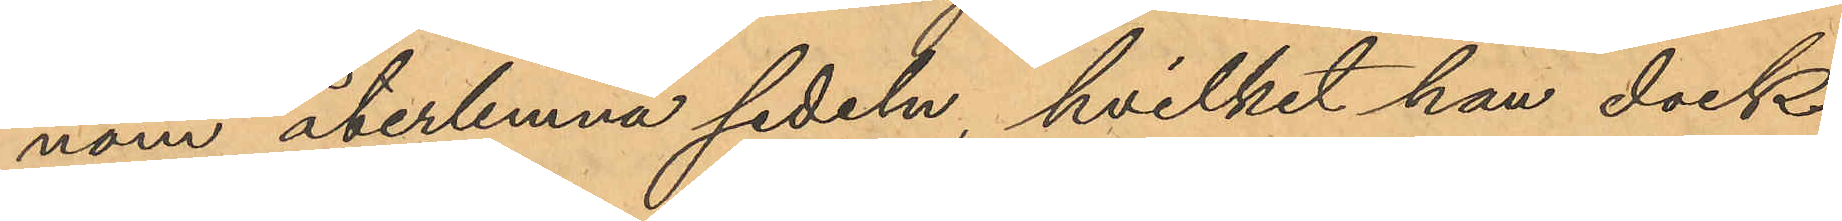nom återlemna sedeln, hvilket han dock
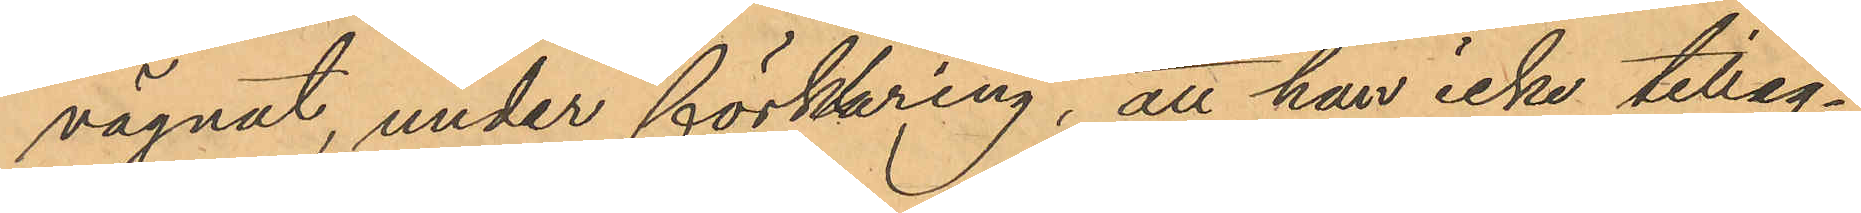vägnat, under förklaring, att han icke tilleg¬
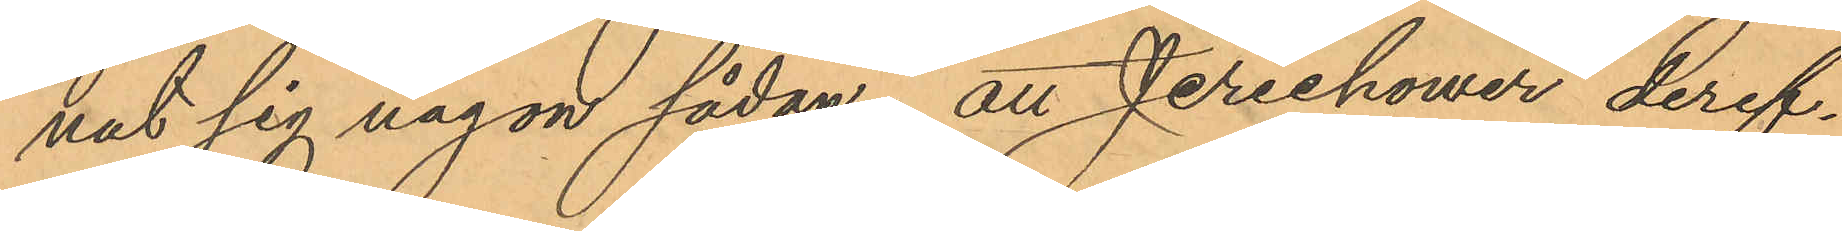nat sig någon sådan; att Jerichower deref¬
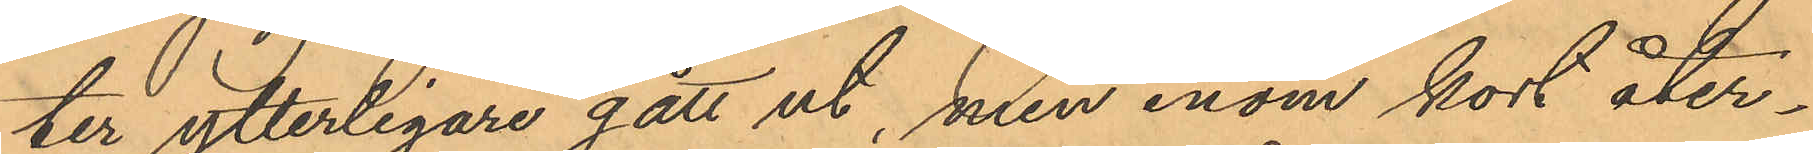ter ytterligare gått ut, men inom kort åter¬
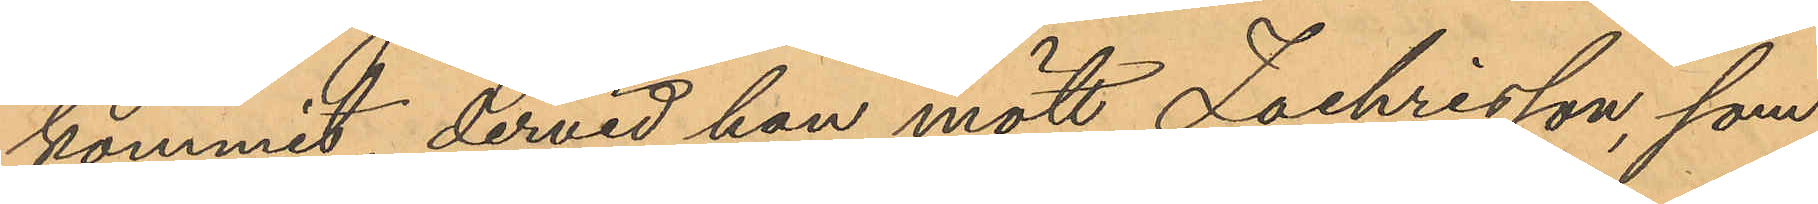kommit dervid hon mött Zachrisson, som
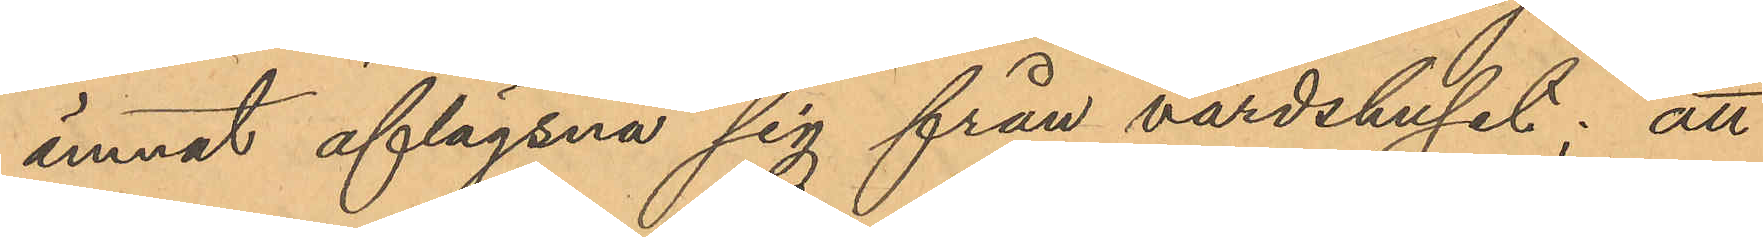ämnat aflägsna sig från värdshuset; att
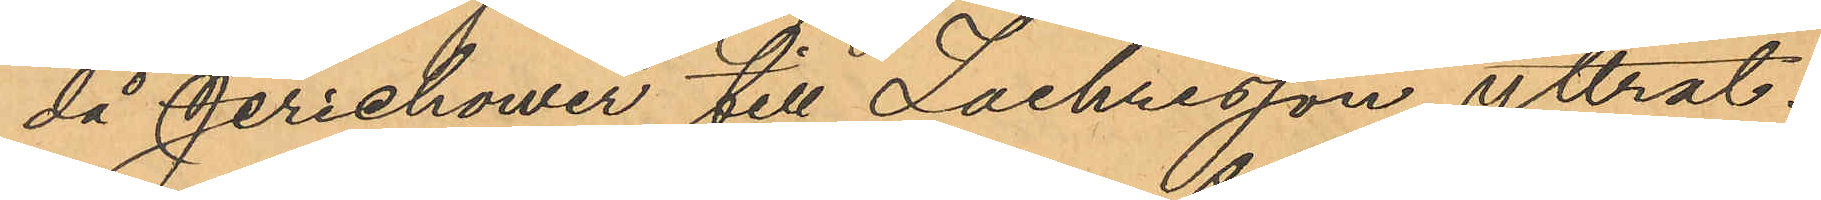då Jerichower till Zachrisson yttrat:
